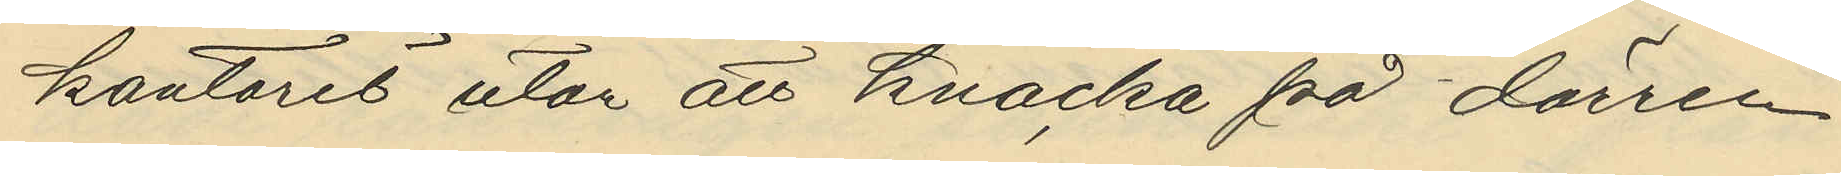kontoret utan att knacka på dörren
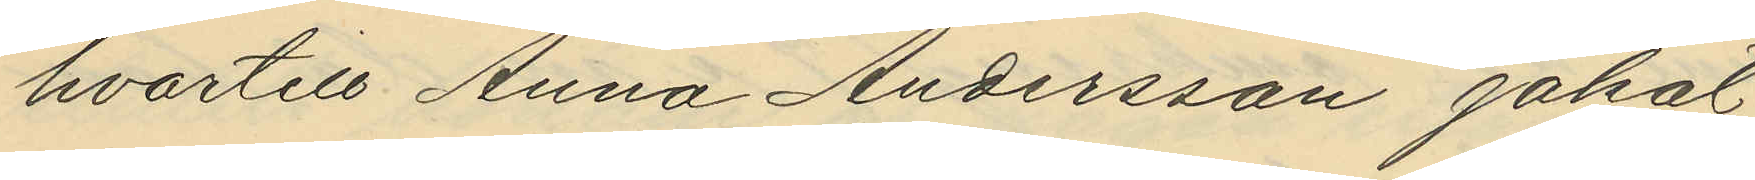hvartill Anna Andersson jakat
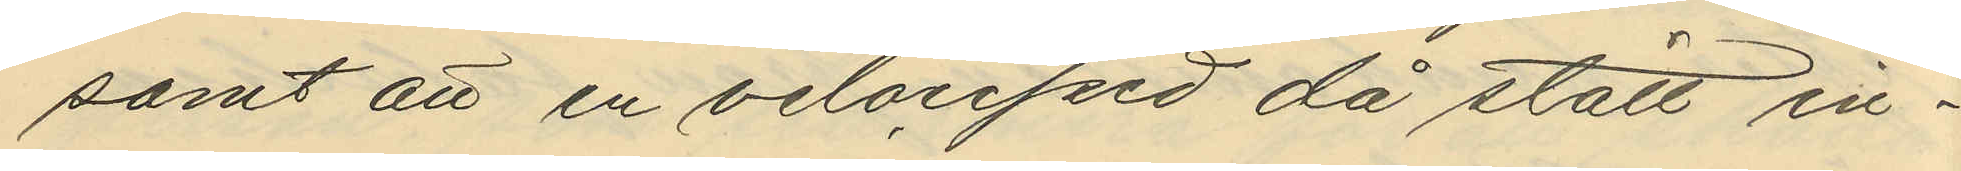samt att en velociped då stått in¬
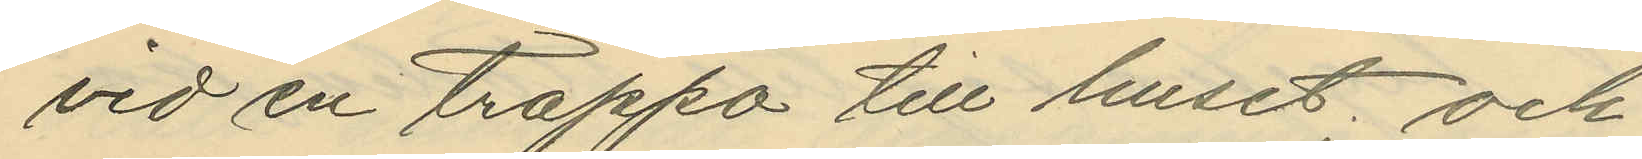vid en trappa till huset; och
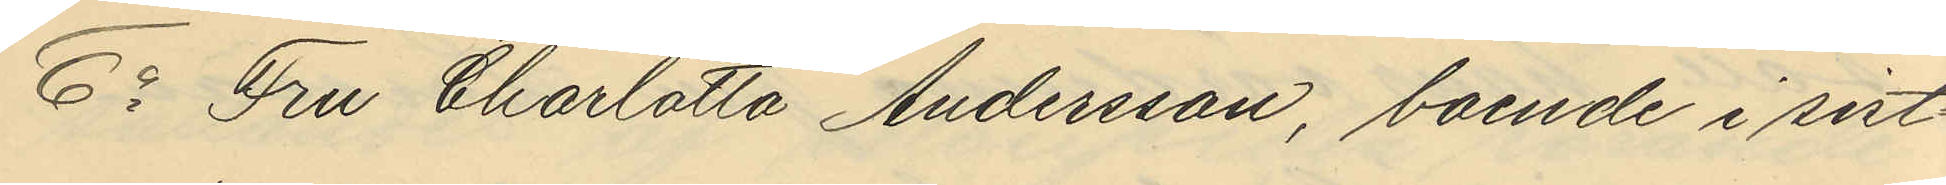6o Fru Charlotta Andersson, boende i sist¬
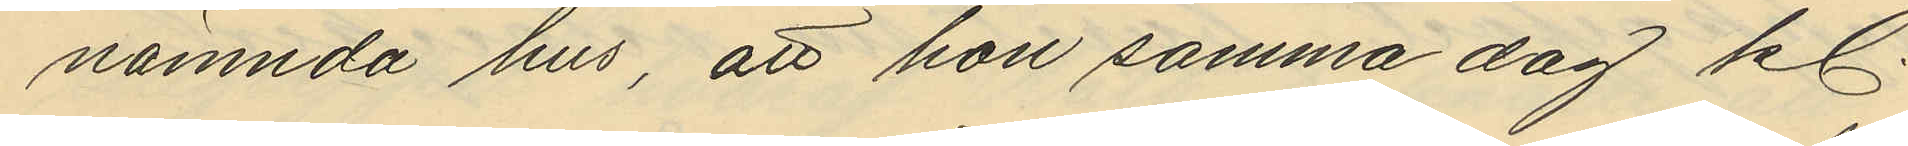nämnda hus, att hon samma dag kl.
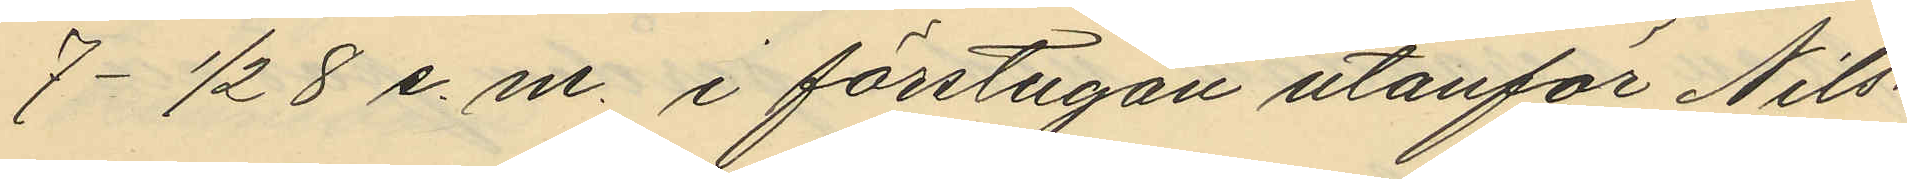7- 1/2  8 e. m. i förstugan utanför Nils¬
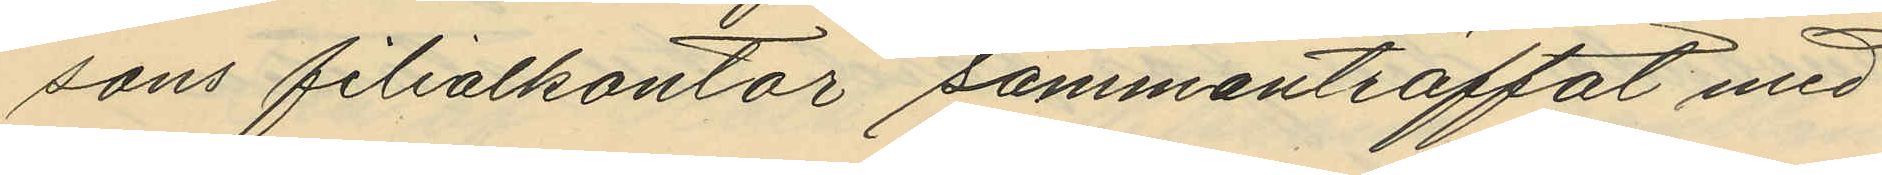sons filialkontor sammanträffat med
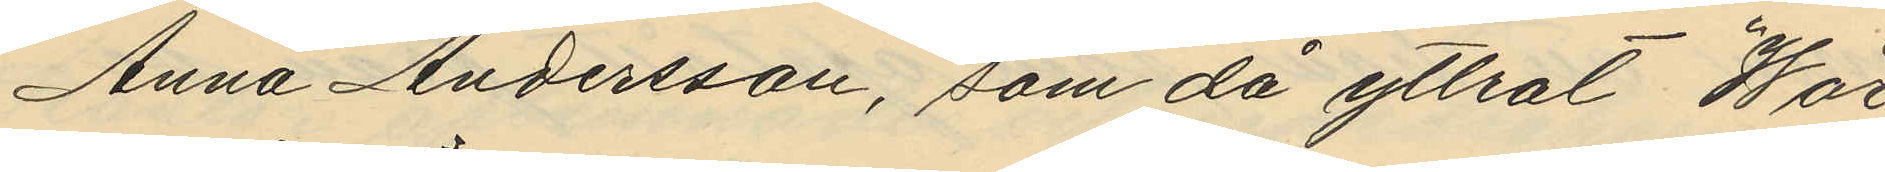Anna Andersson, som då yttrat "Wår
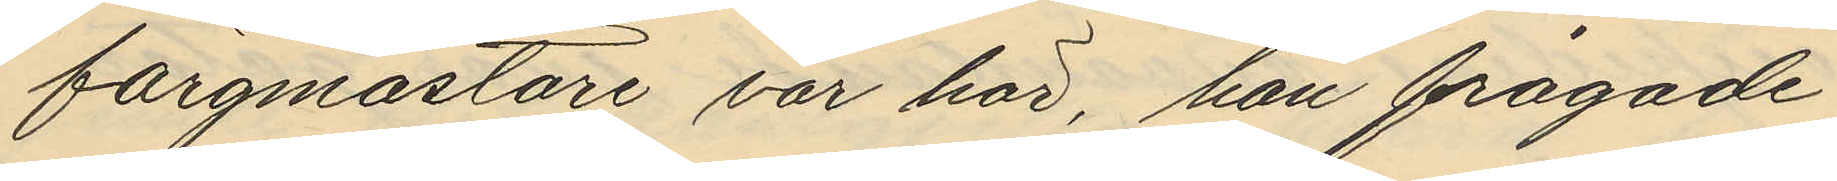färgmästare var här, han frågade
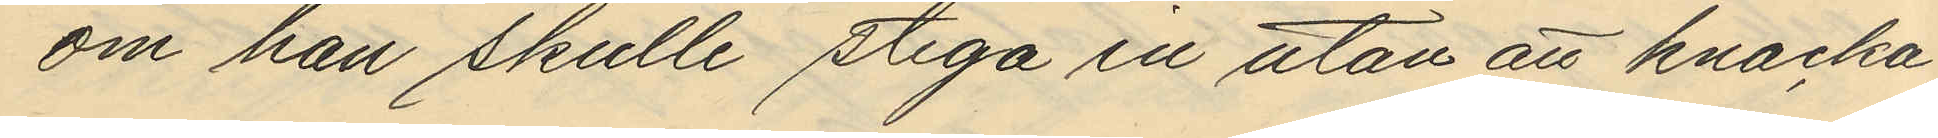om han skulle stiga in utan att knacka
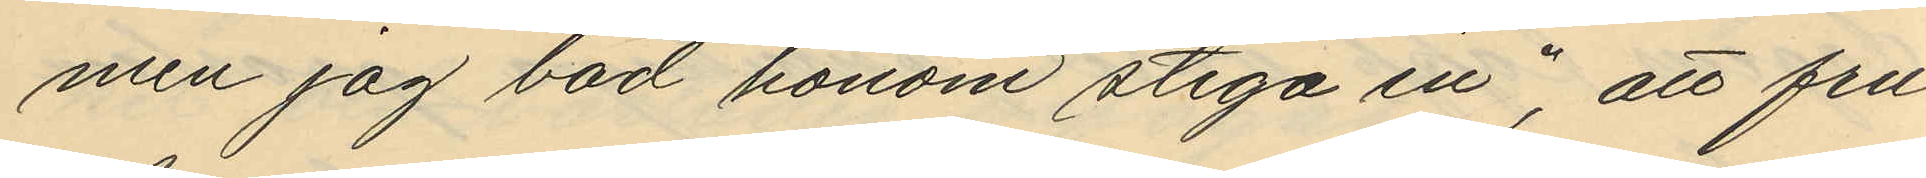men jag bad honom stiga in", att fru
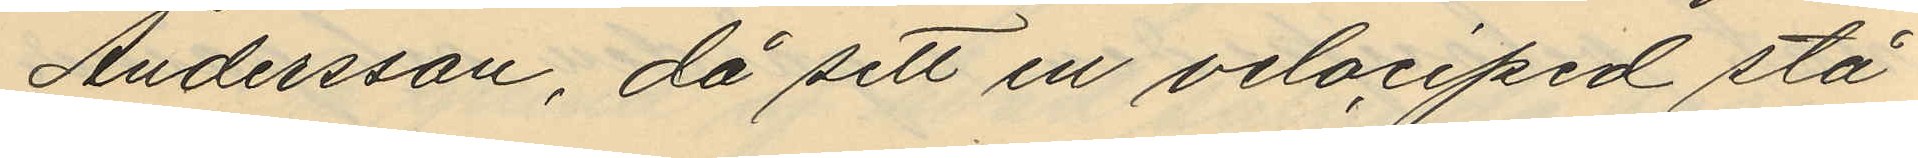Andersson, då sett en velociped stå
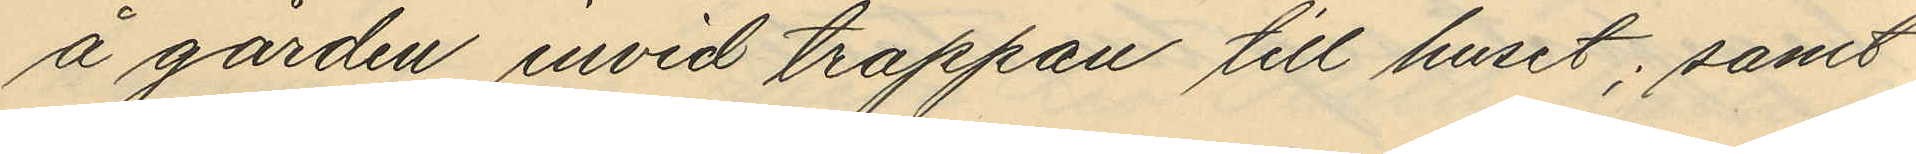å gården invid trappan till huset; samt
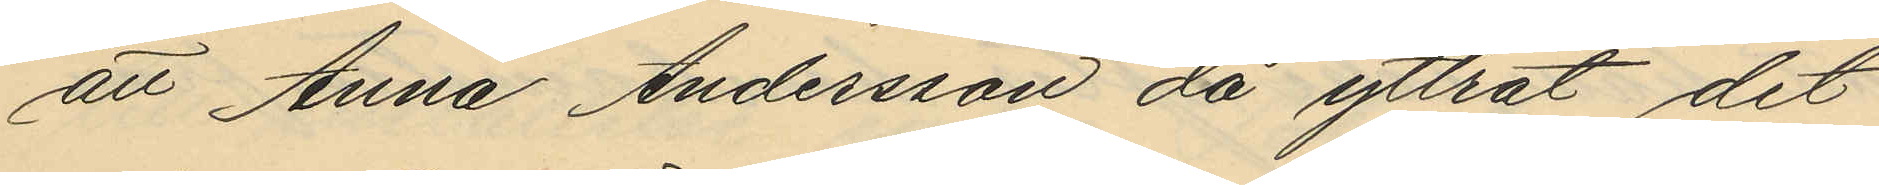att Anna Andersson då yttrat det
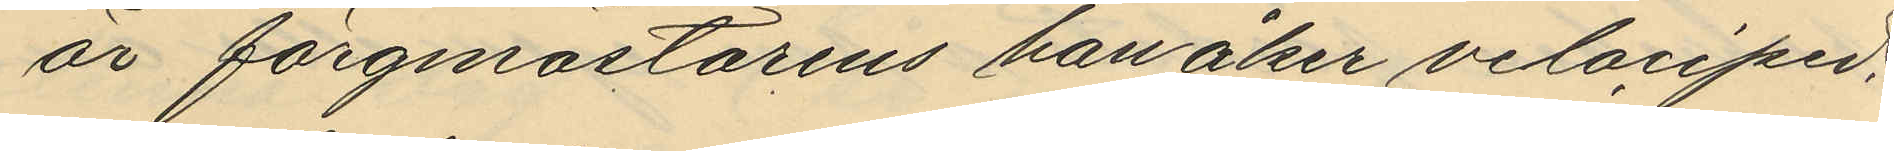är färgmästarens han åker velociped.
